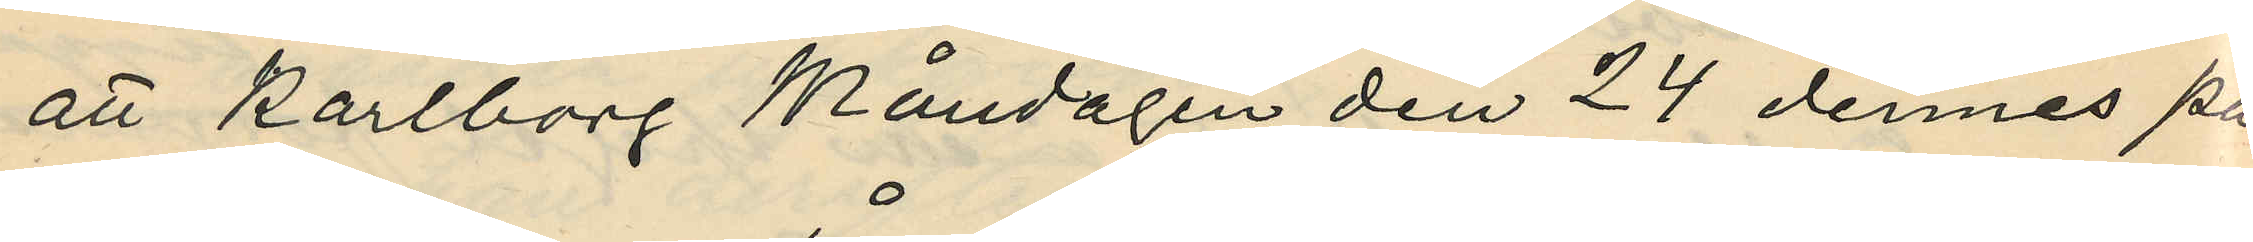att Karlborg Måndagen den 24 dennes på
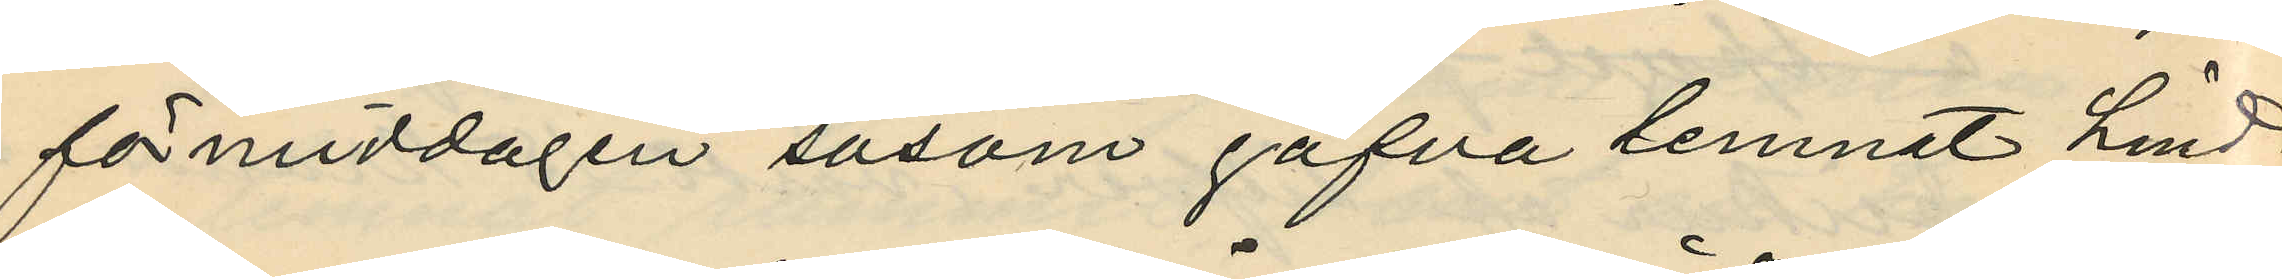förmiddagen såsom gåfva lemnat Lind¬
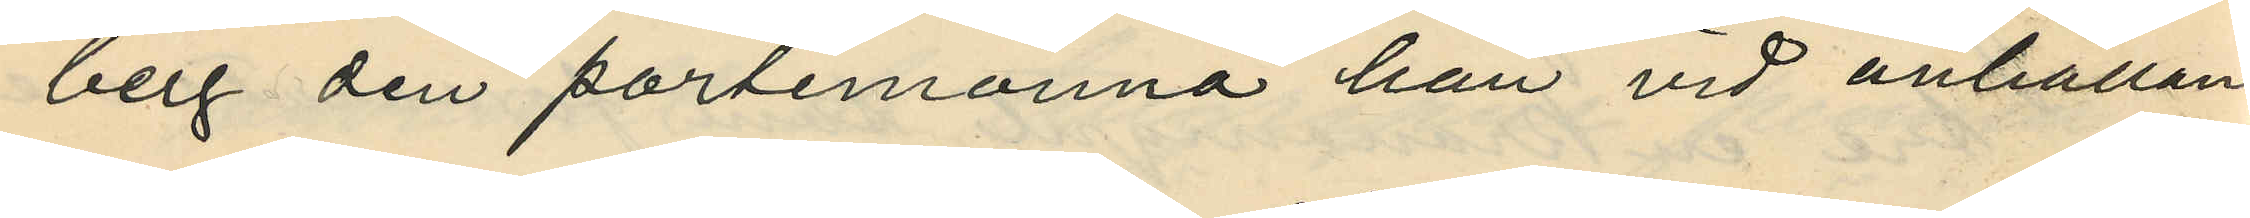berg den portemonnä han vid anhållan¬
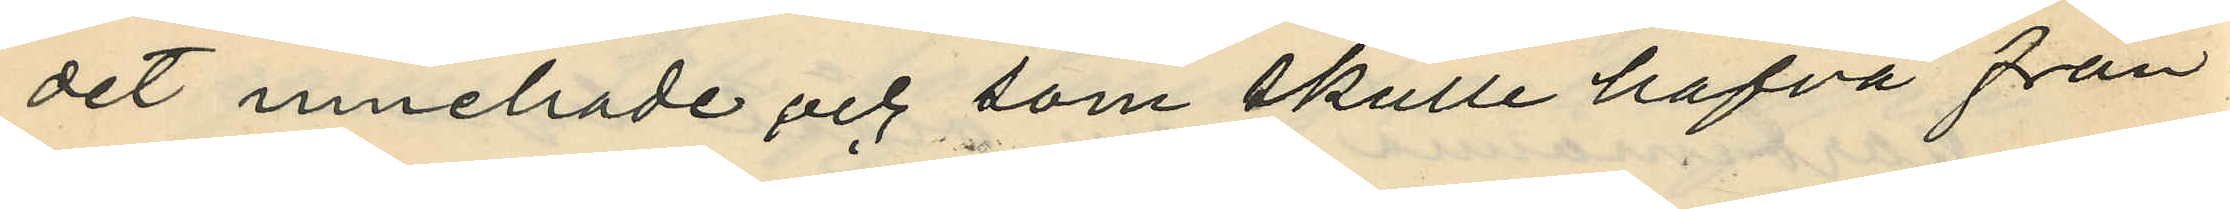det innehade och som skulle hafva från¬
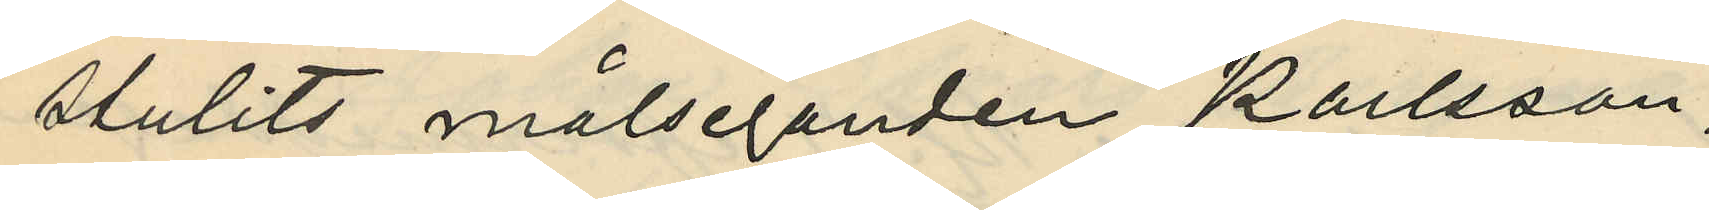stulits målseganden Karlsson;
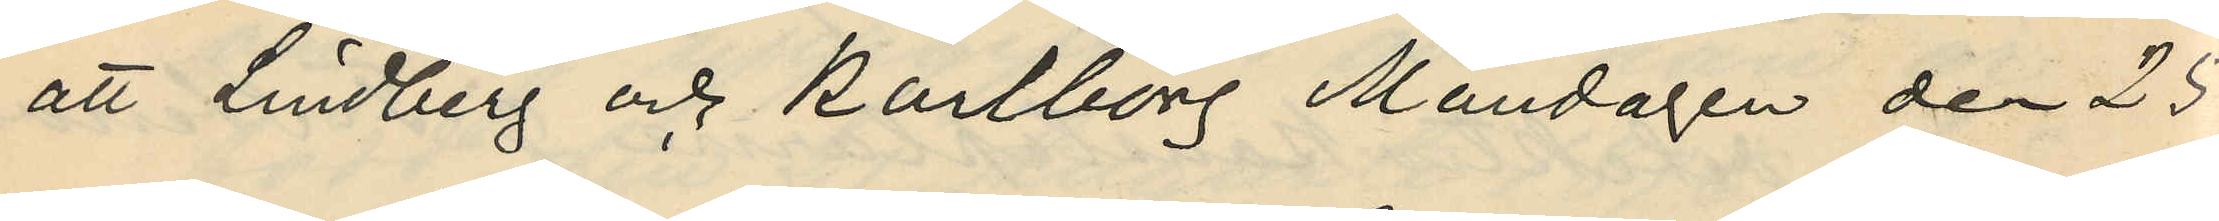att Lindberg och Karlborg Måndagen den 25
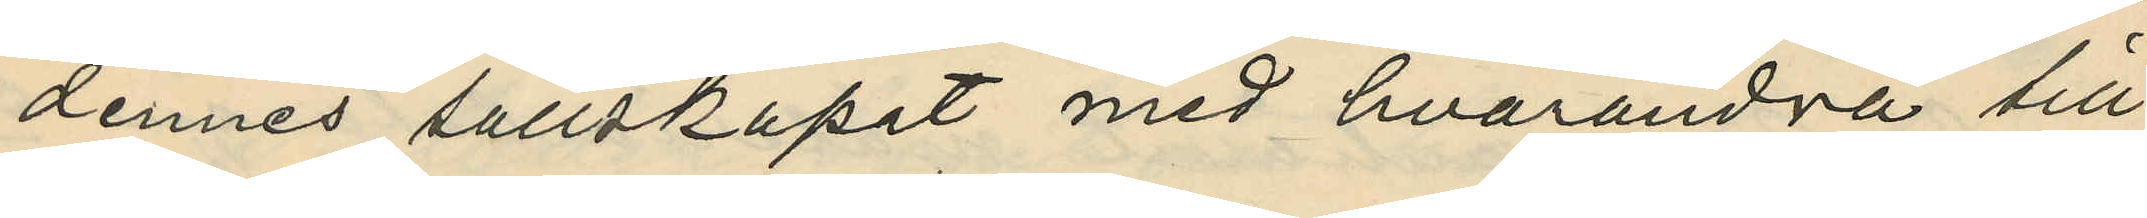dennes sällskapet med hvarandra till
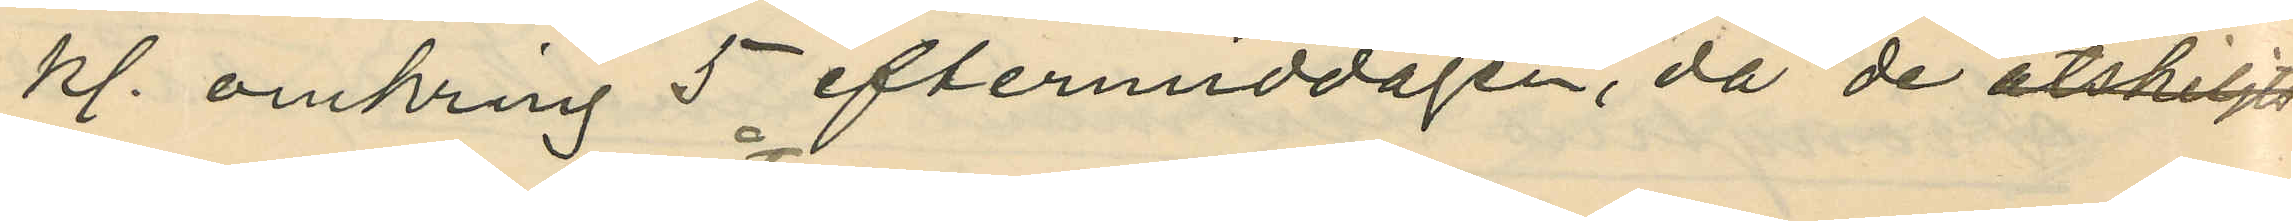kl. omkring 5 eftermiddagen, då de åtskiljts
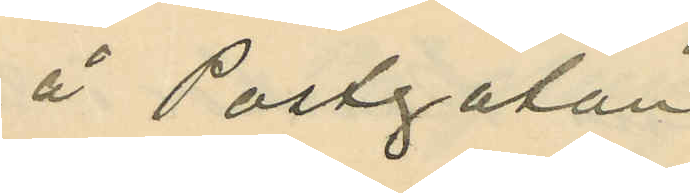å Postgatan,
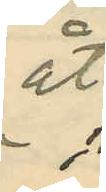åt¬
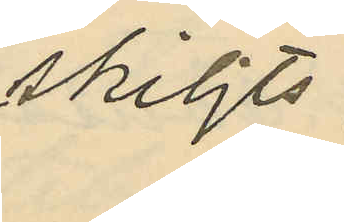skiljts;
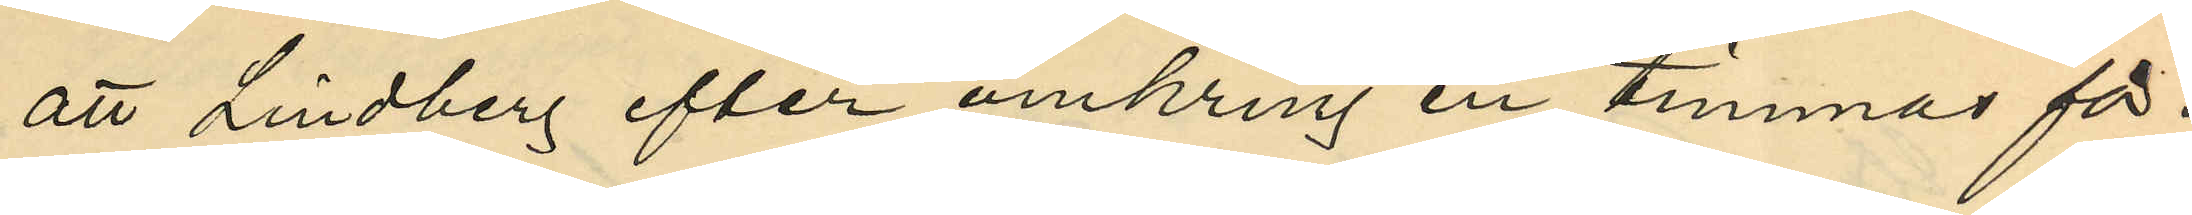att Lindberg efter omkring en timmas för¬
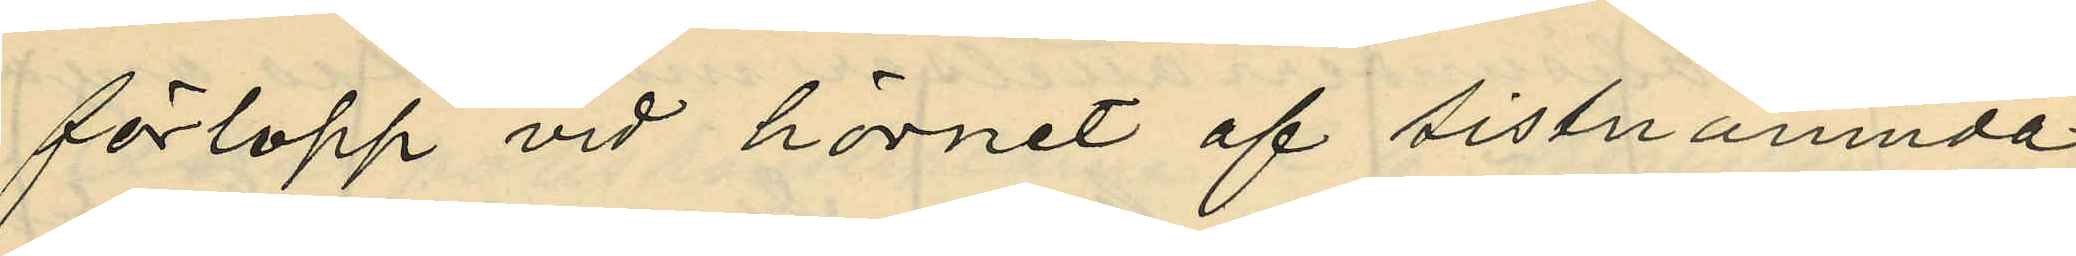förlopp vid hörnet af sistnämnda
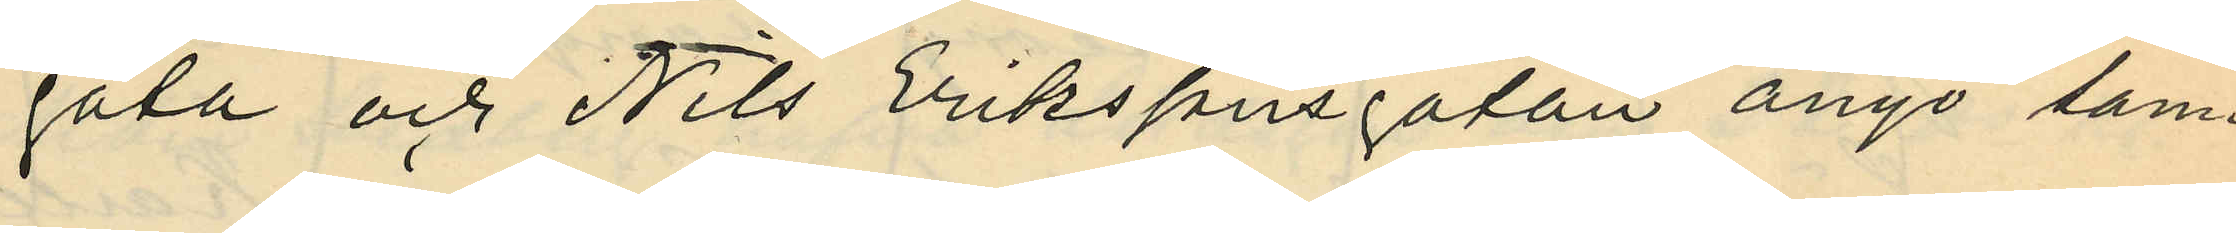gata och Nils Erikssonsgatan anyo sam¬
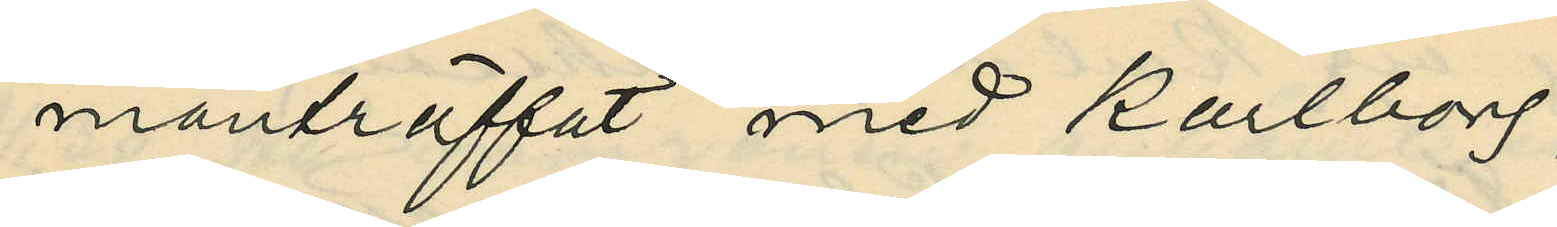manträffat med Karlborg;
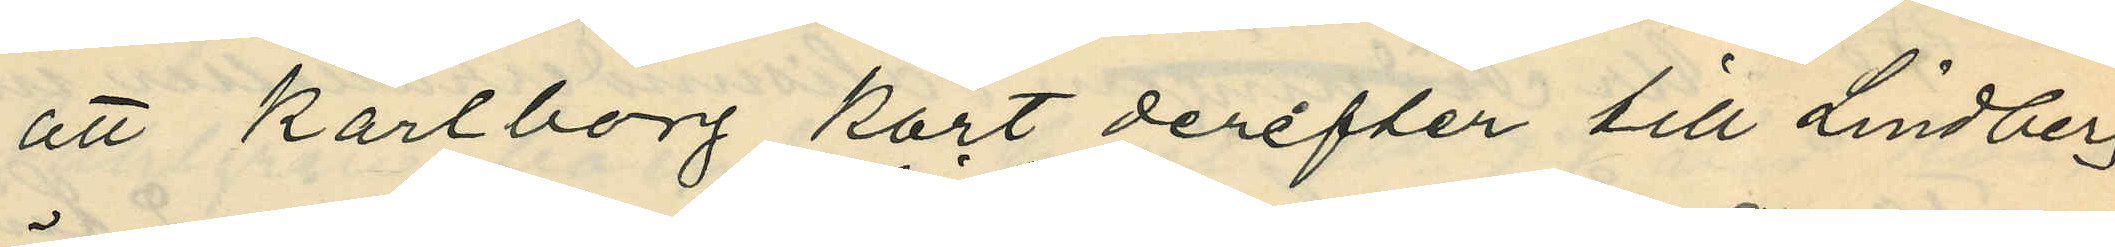att Karlborg kort derefter till Lindberg
